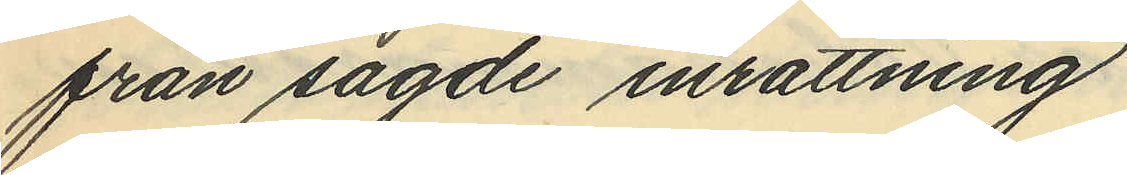från sagde inrättning
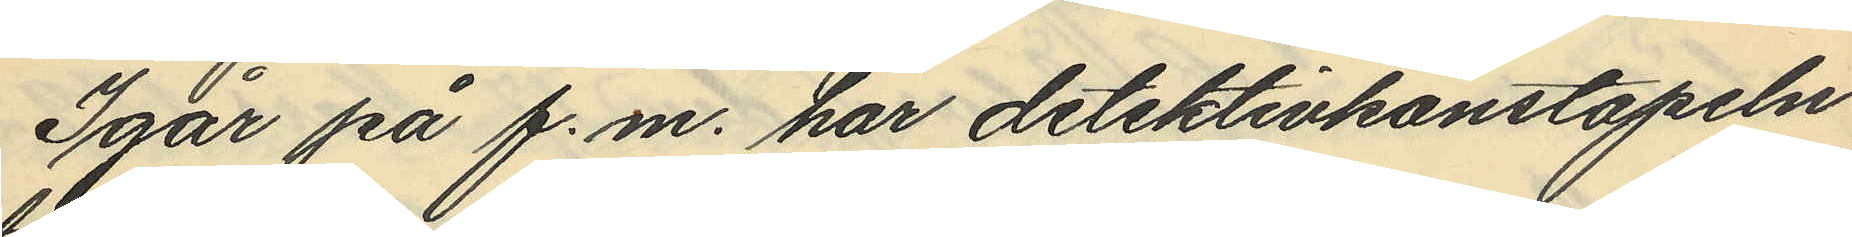Igår på f.m. har detektivkonstapeln
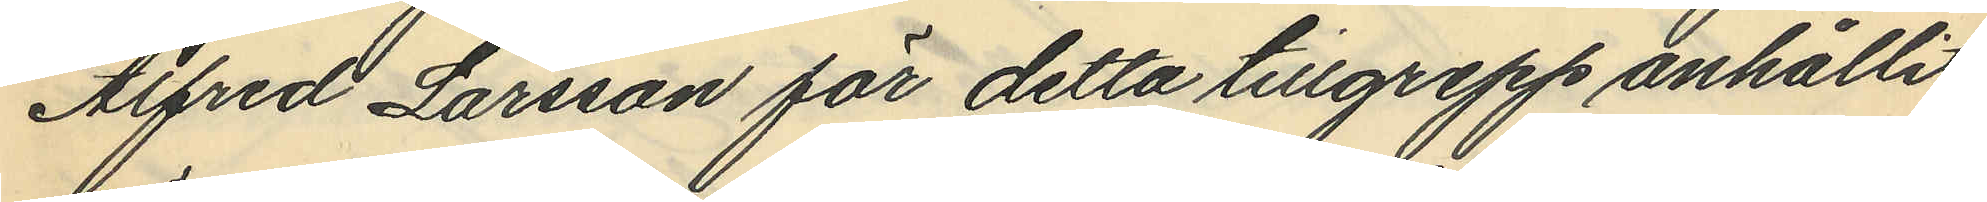Alfred Larsson för detta tillgrepp anhållit
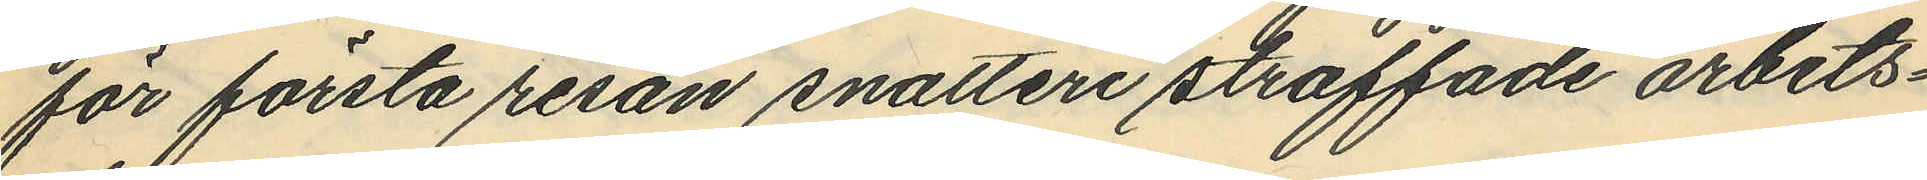för första resan snatteri straffade arbets¬
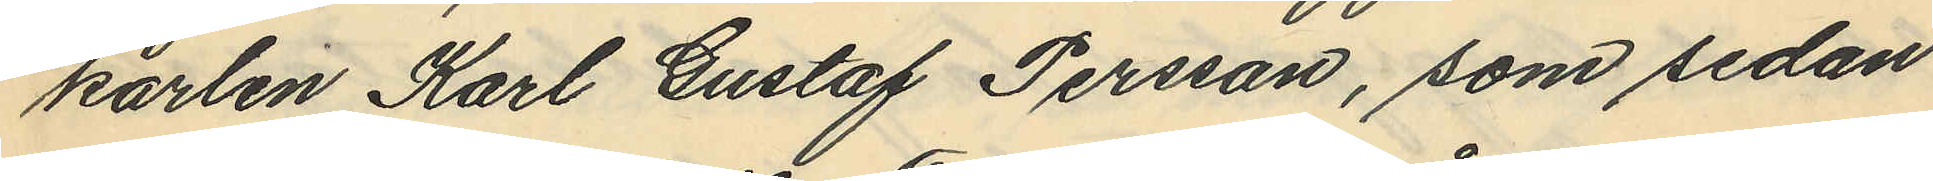karlen Karl Gustaf Persson, som sedan
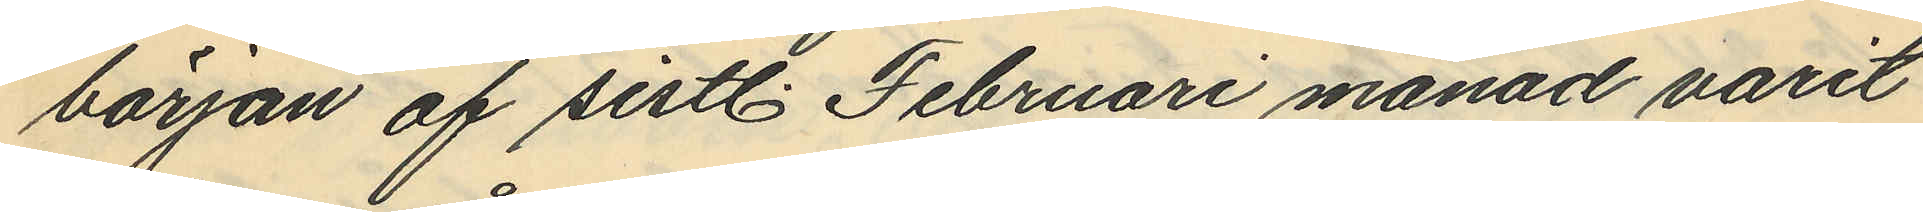början af sistl. Februari månad varit
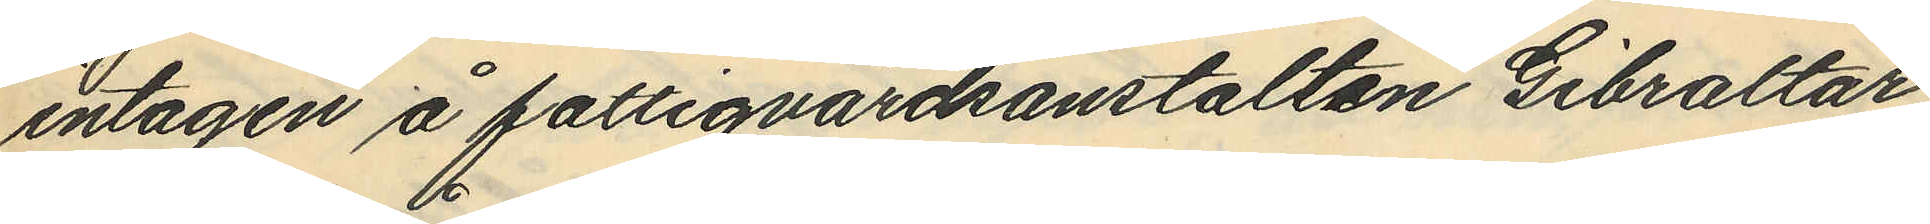intagen å fattigvårdsanstalten Gibraltar,
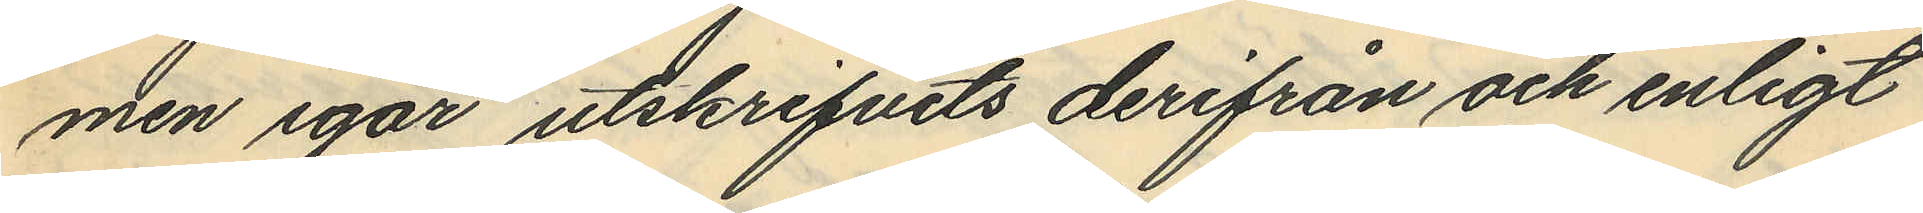men igår utskrifvits derifrån och enligt
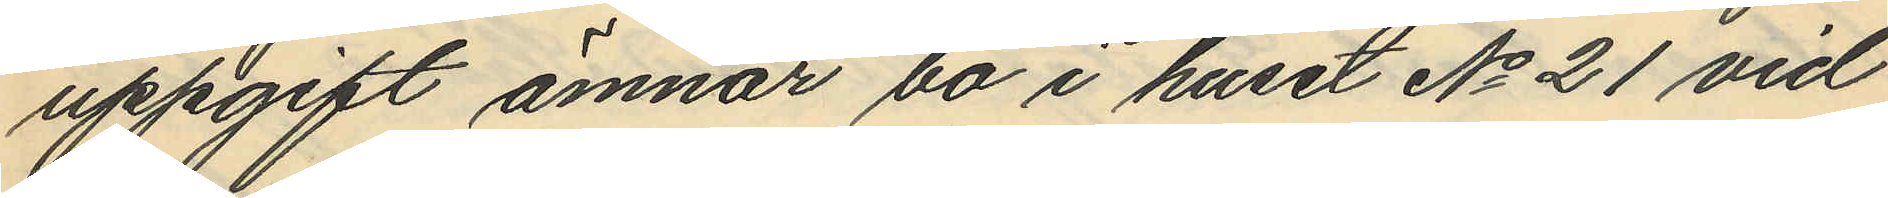uppgift ämnar bo i huset No 21 vid
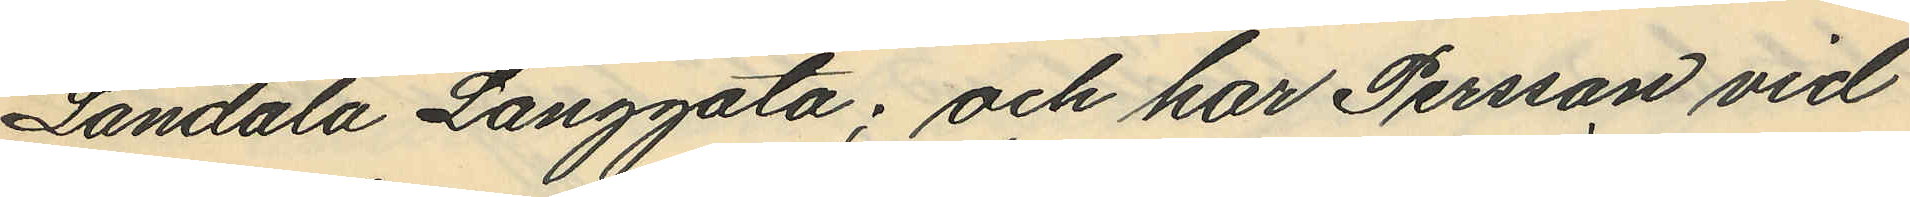Landala Långgata; och har Persson vid
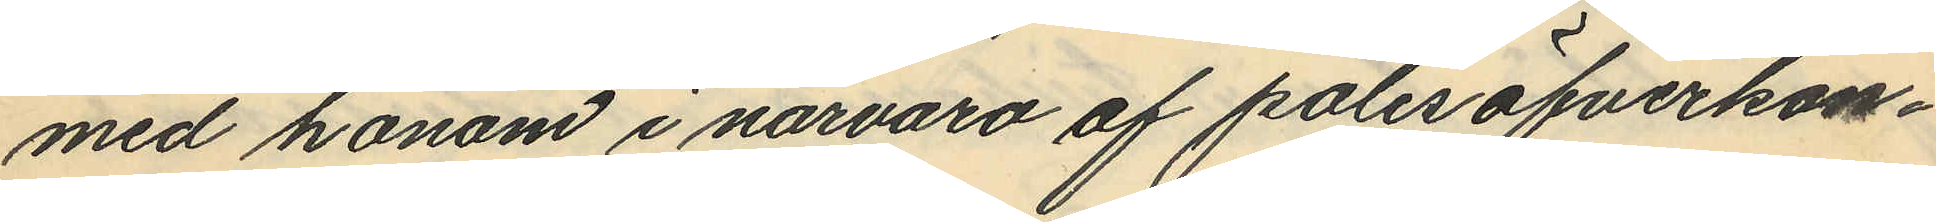med honom i närvaro af polisöfverkon¬
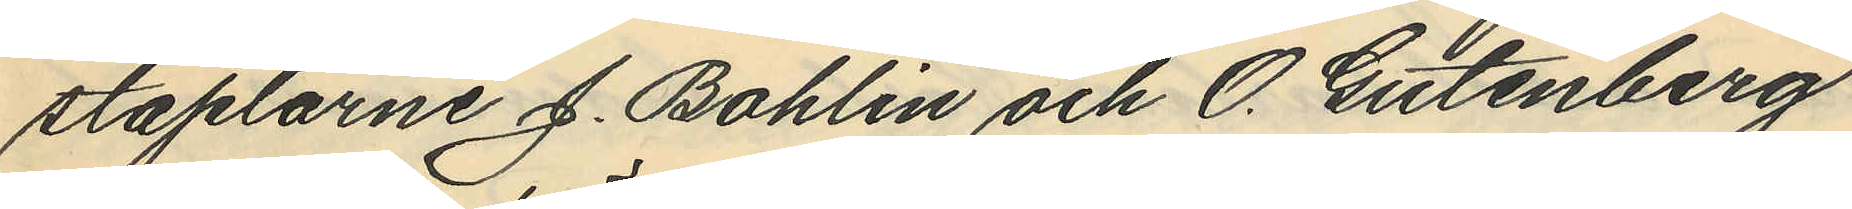staplarne J. Bohlin och O. Gutenberg
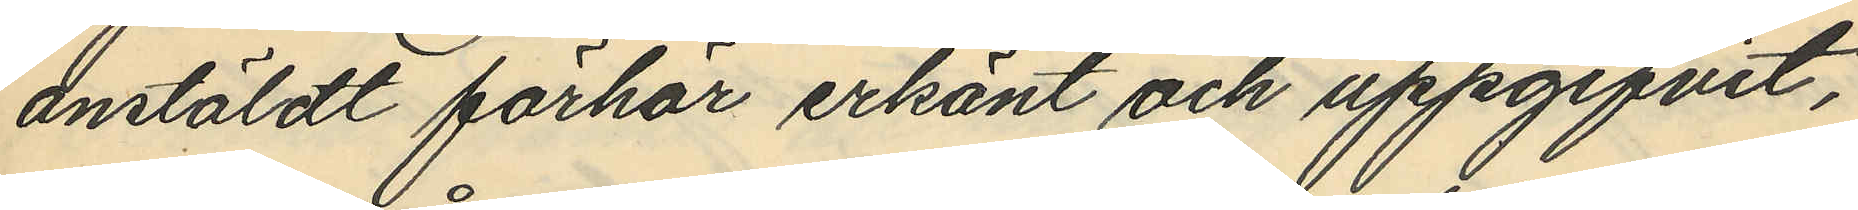anstäldt förhör erkänt och uppgifvit,
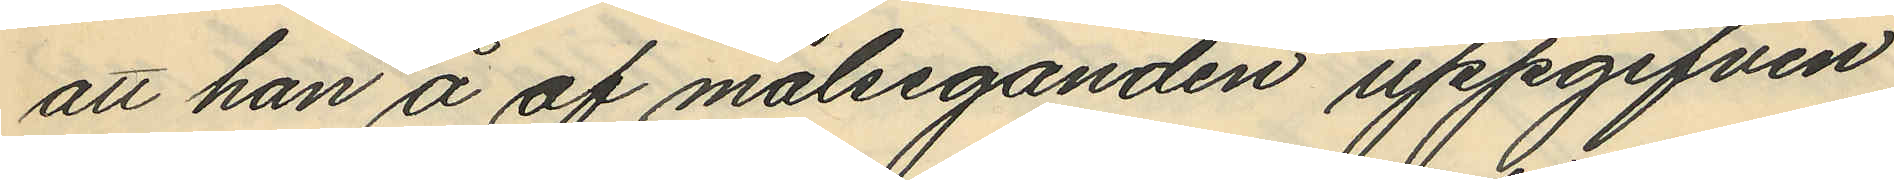att han å af målseganden uppgifven
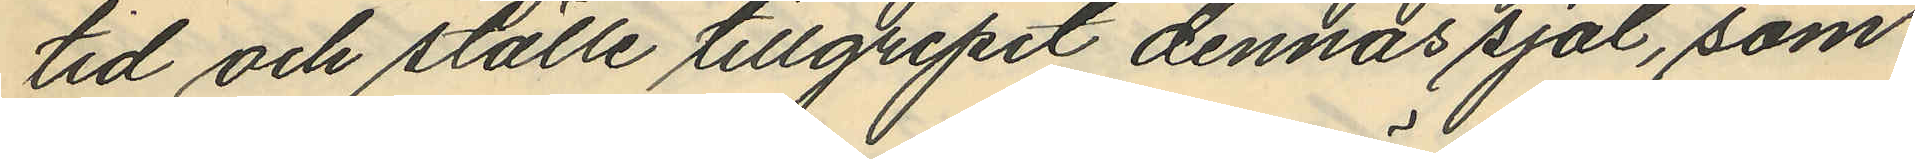tid och ställe tillgripit dennas sjal, som
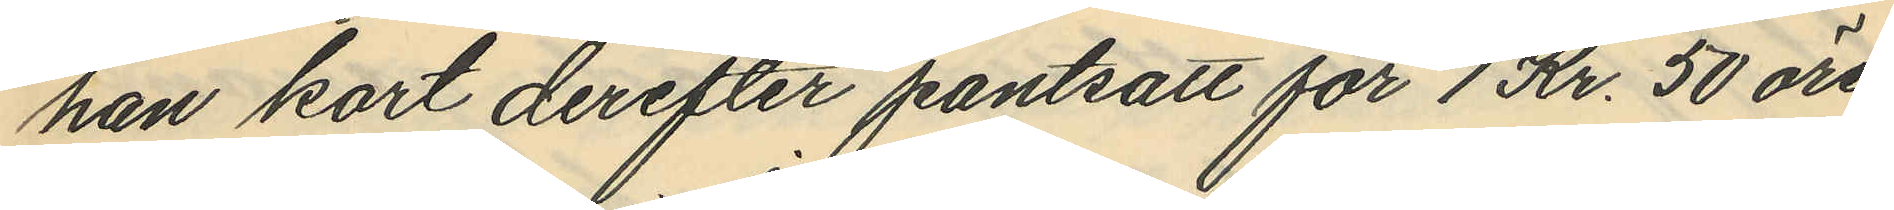han kort derefter pantsatt för 1 Kr. 50 öre
